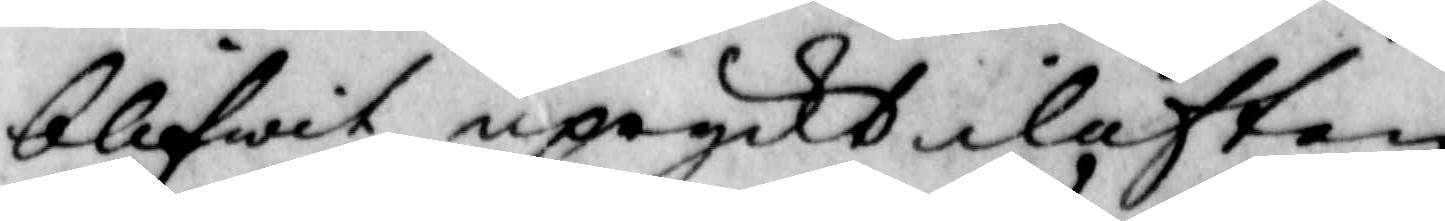blifwit upryckt i luften
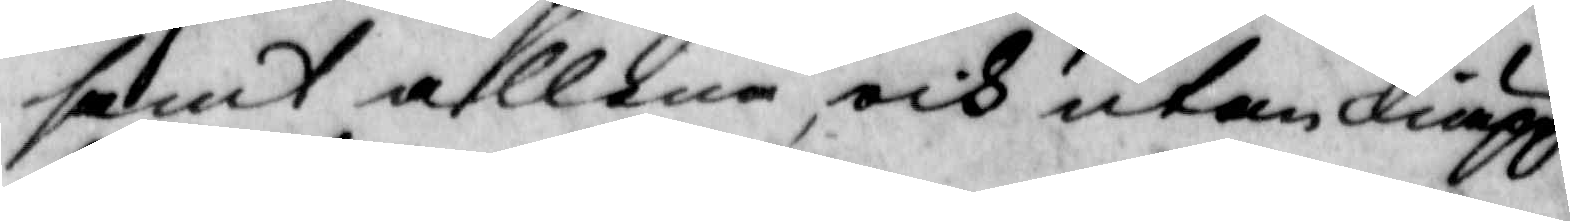samt allena, och utan kiäpp
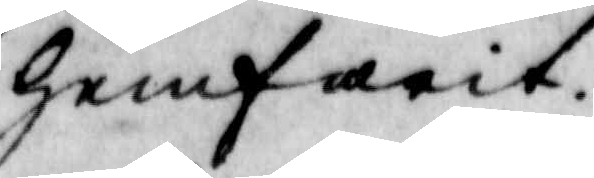hemfarit.
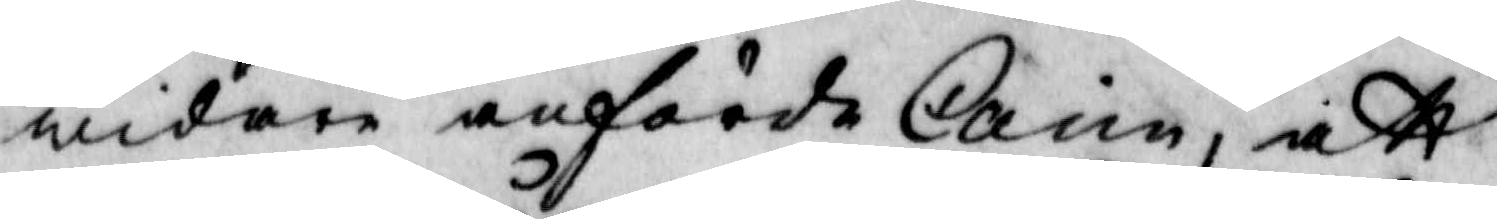widare anförde Carin, att
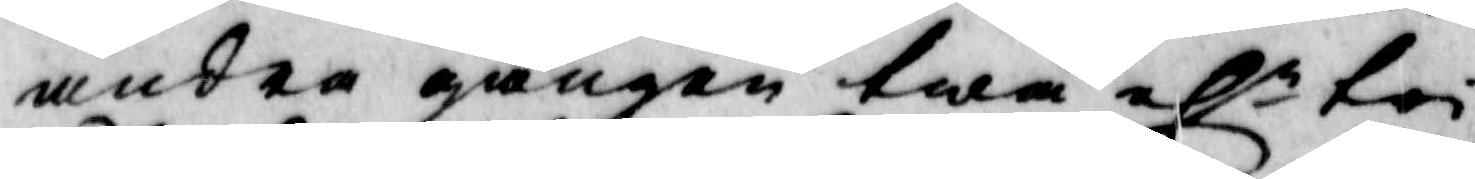andra gången twå elr tri
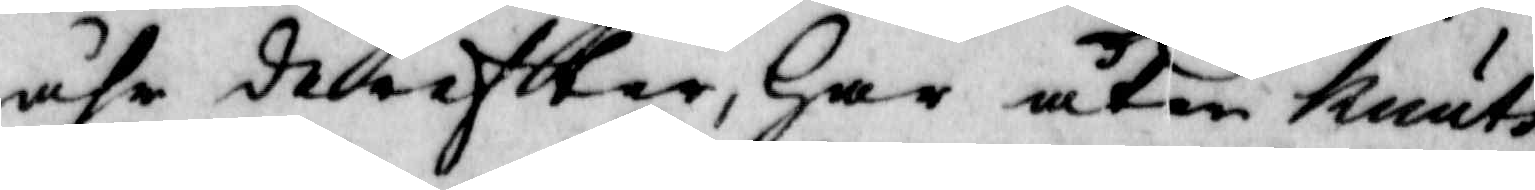åhr derefter, Har åter Knuts
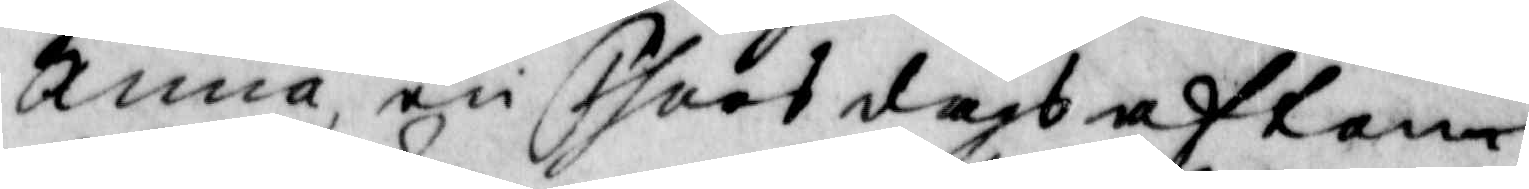Anna, en Thorsdagsafton
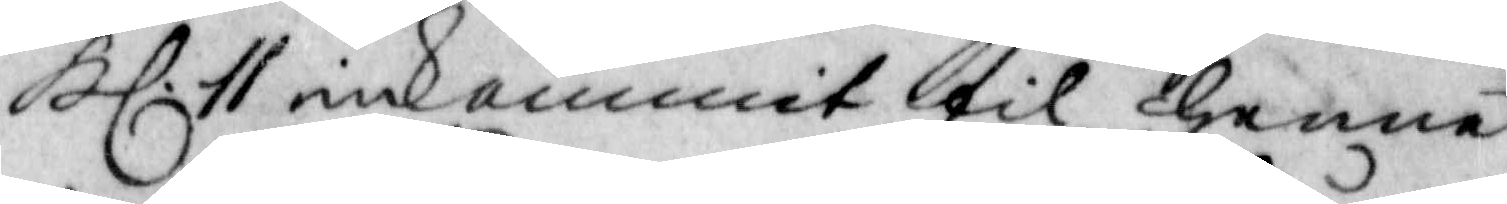Kl: 11 inkommit til henne
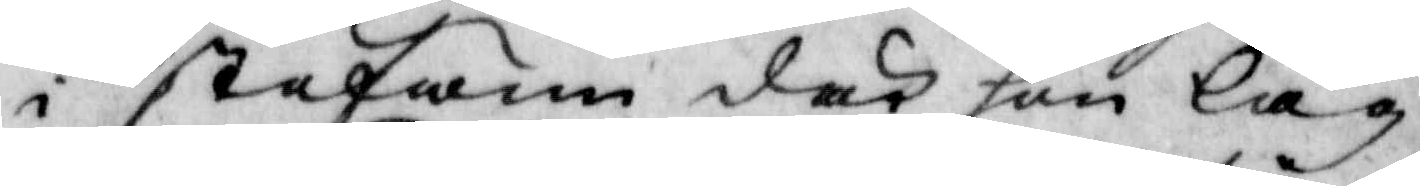i stufwun där hon låg,
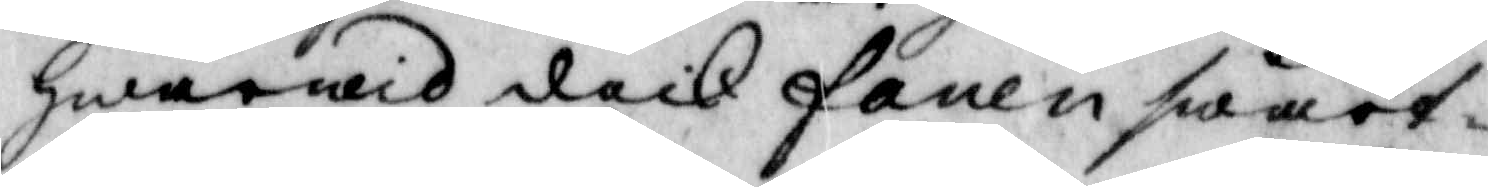hwarwid dock fanen swart¬
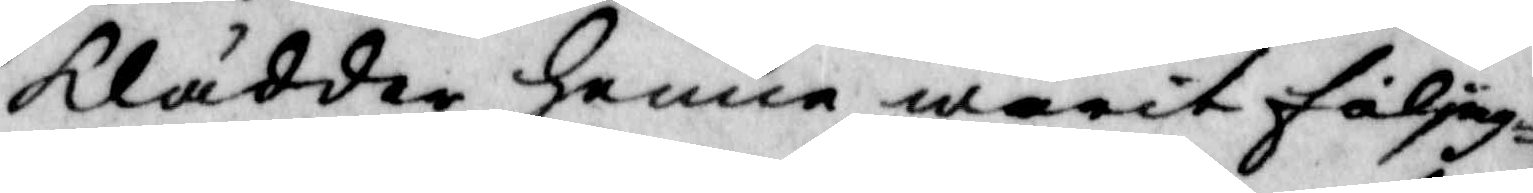klädder henne warit följag
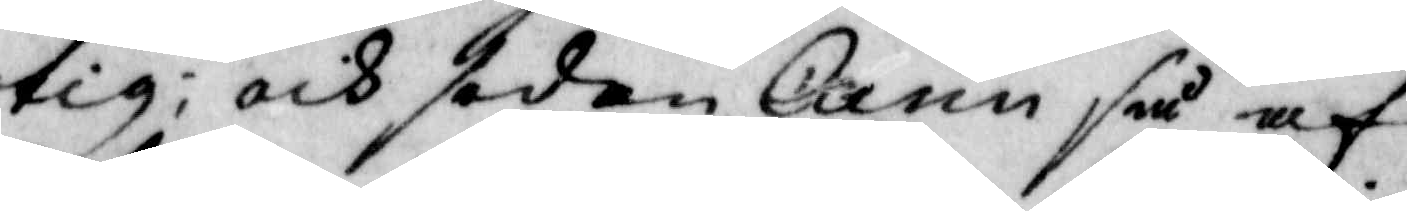tig; och sedan Carin så af
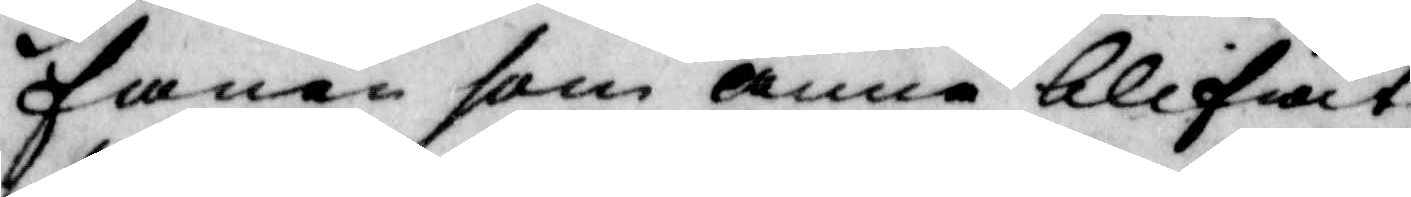fanen som anna blifwit
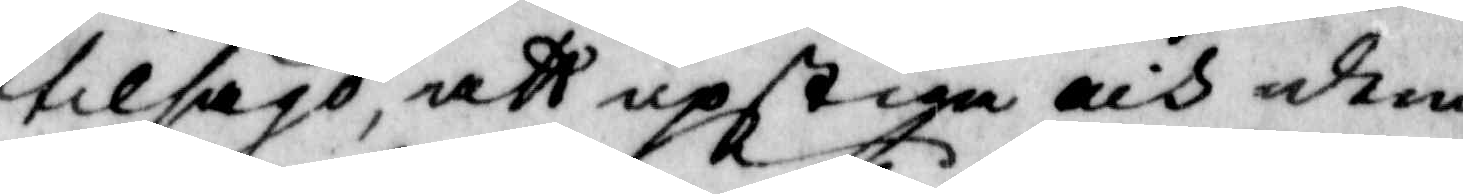tilsagd, att upstiga och dem
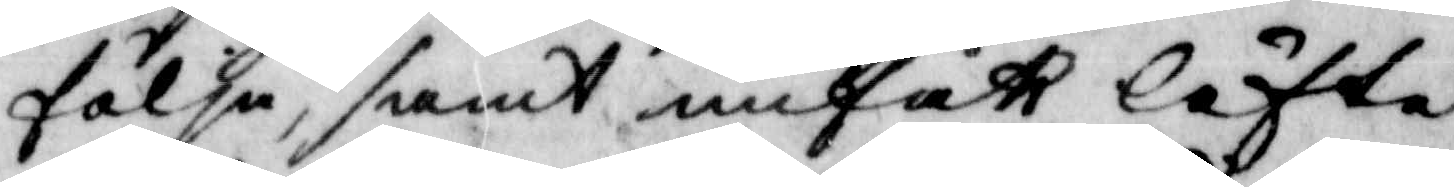följa, samt unfått löfte
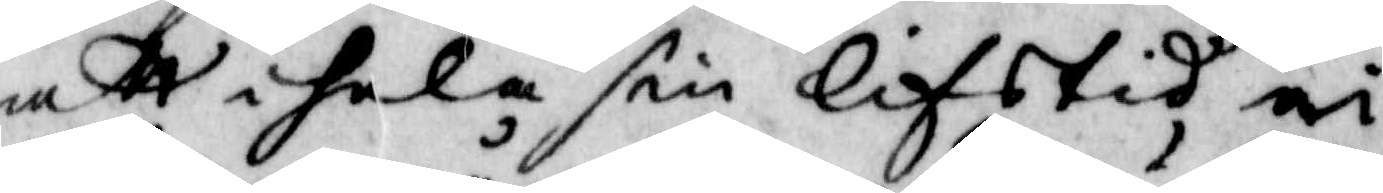att i hela sin lifstid, ei
